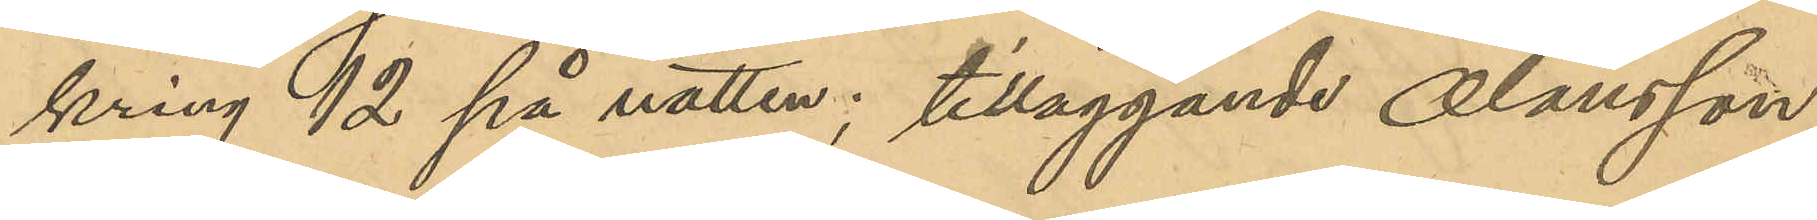kring 12 på natten; tilläggande Olausson,
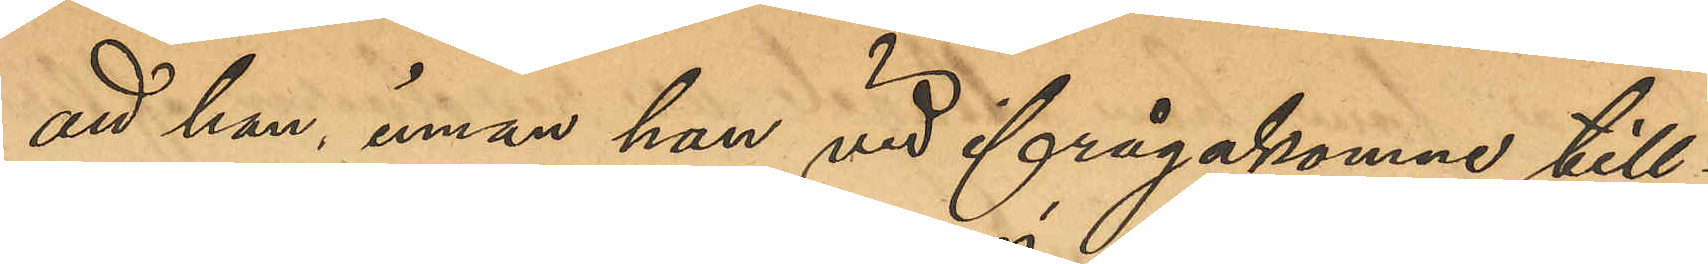att han, innan han vid ifrågakomne till¬
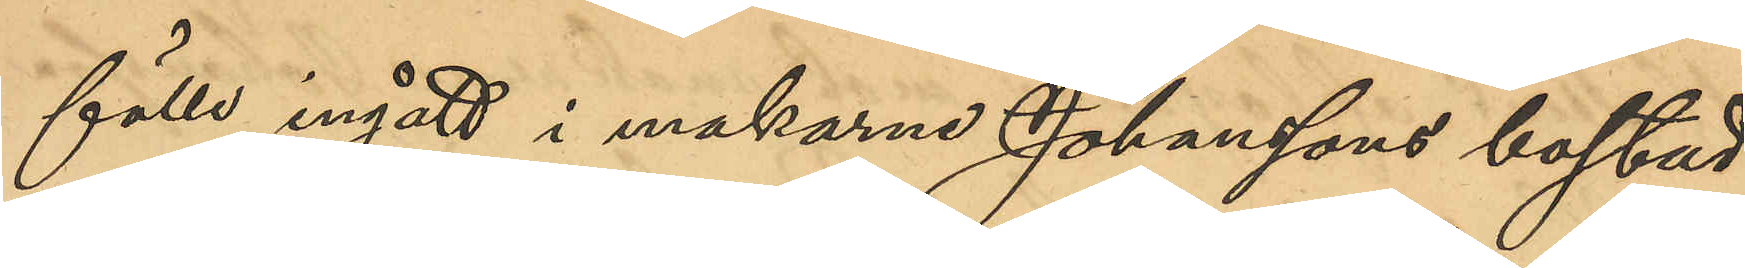fälle ingått i makarne Johanssons bostad
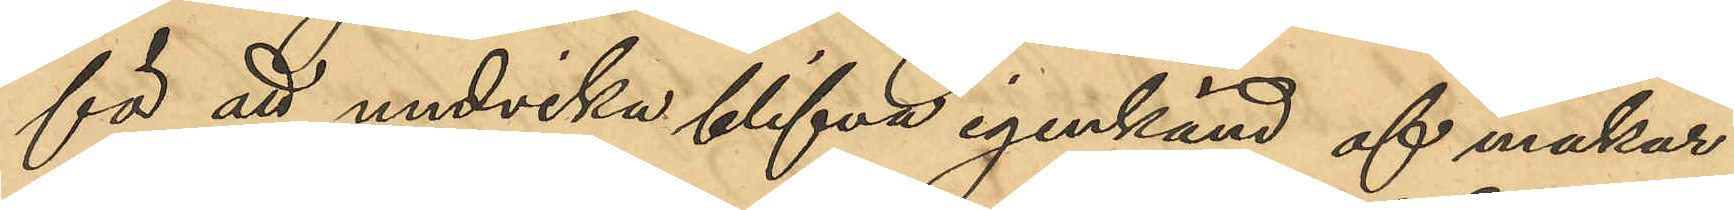för att undvika blifva igenkänd af makar¬
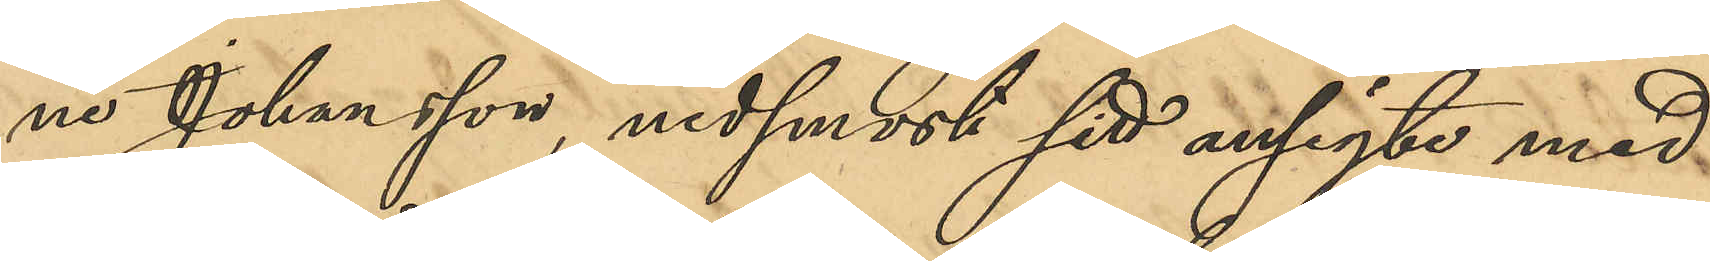ne Johansson, nedsmort sitt ansigte med
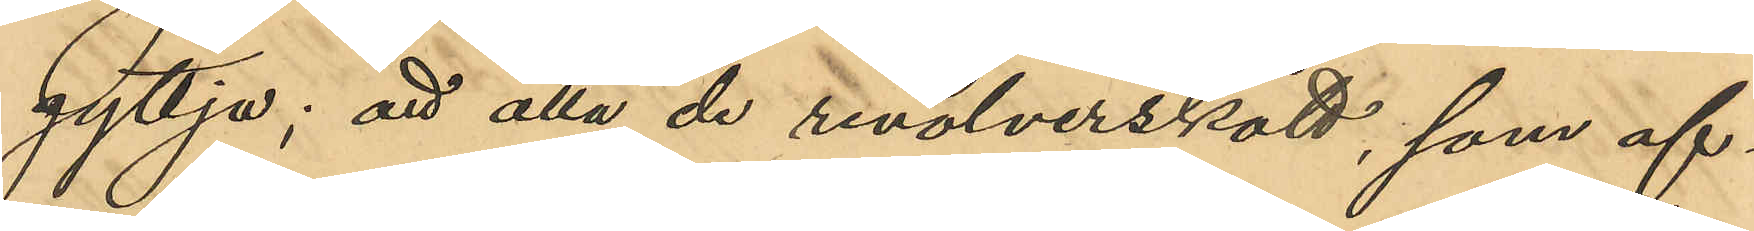gyttja; att alla de revolverskott, som af¬
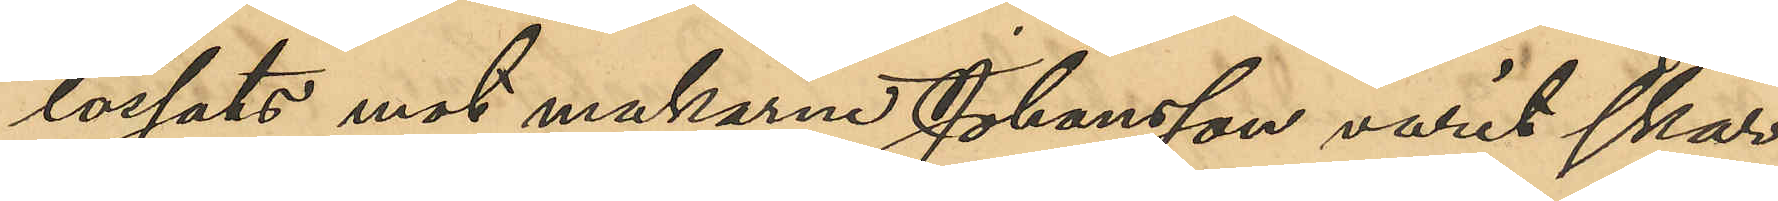lossats mot makarne Johansson varit skar¬
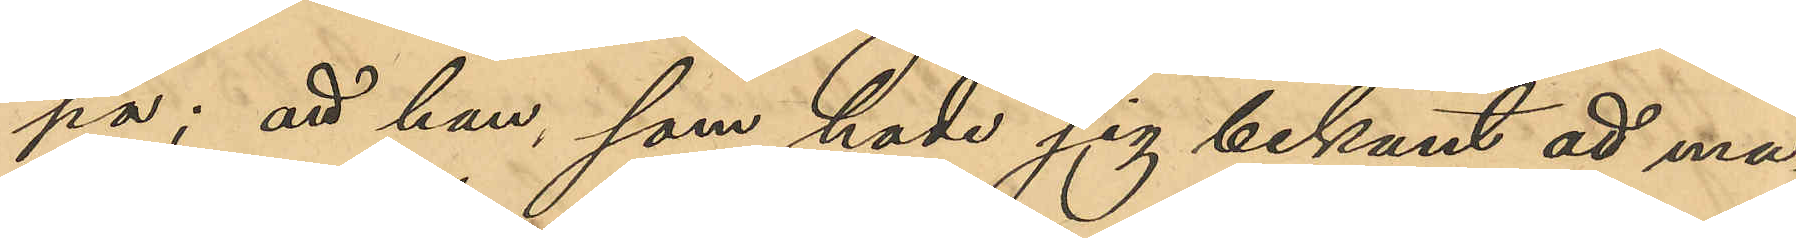pa; att han, som hade sig bekant att ma¬
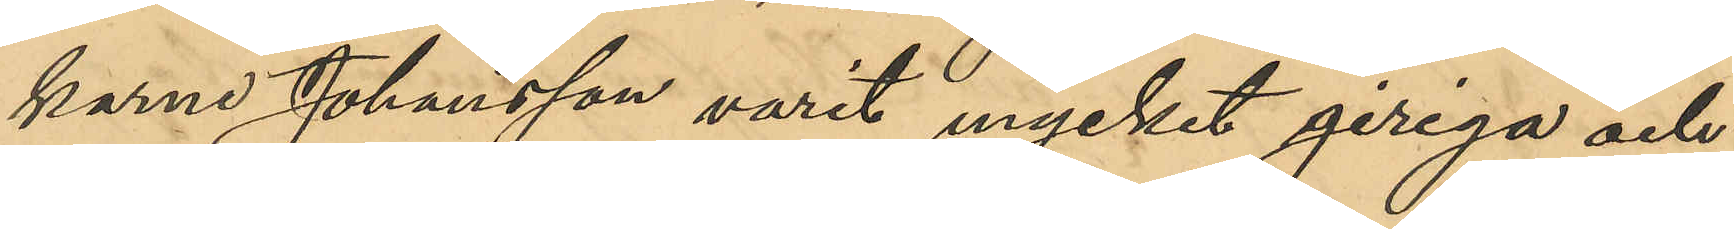karne Johansson varit mycket giriga och
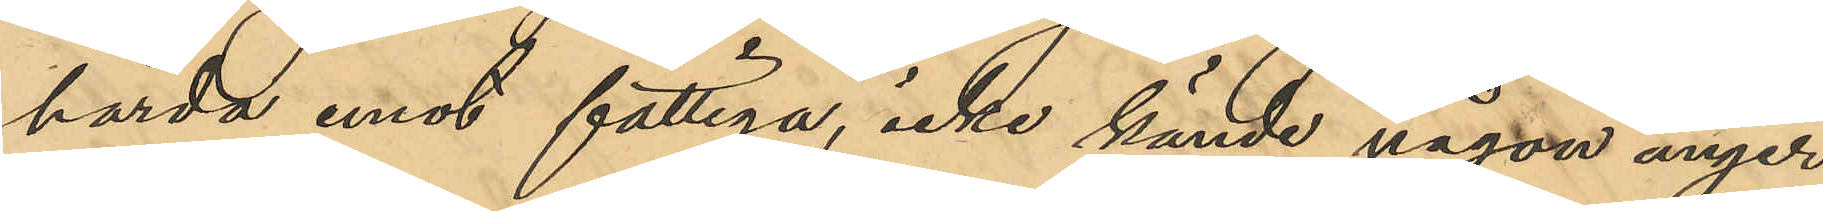hårda mot fattiga, icke kände någon ånger
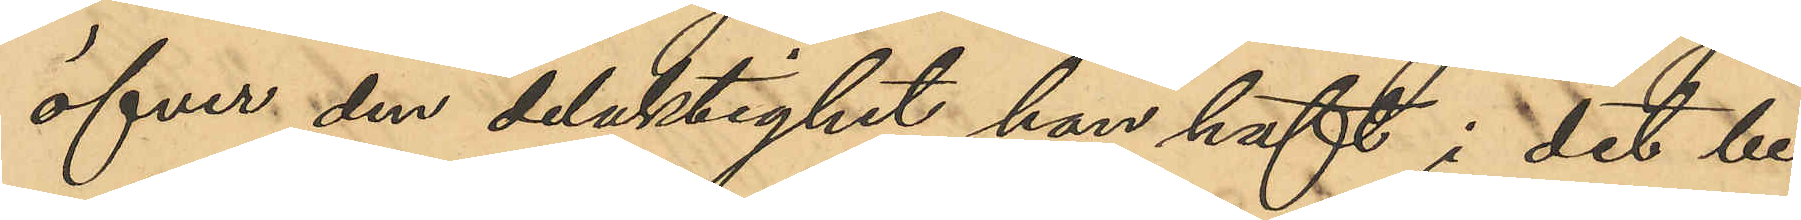öfver den delaktighet han haft i det be¬
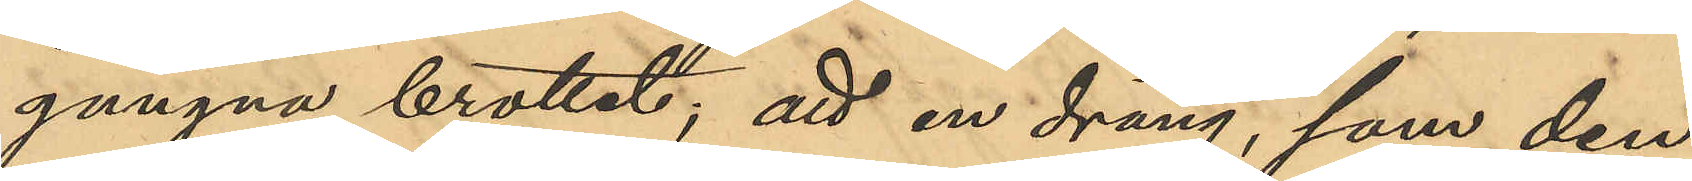gångna brottet; att en dräng, som den
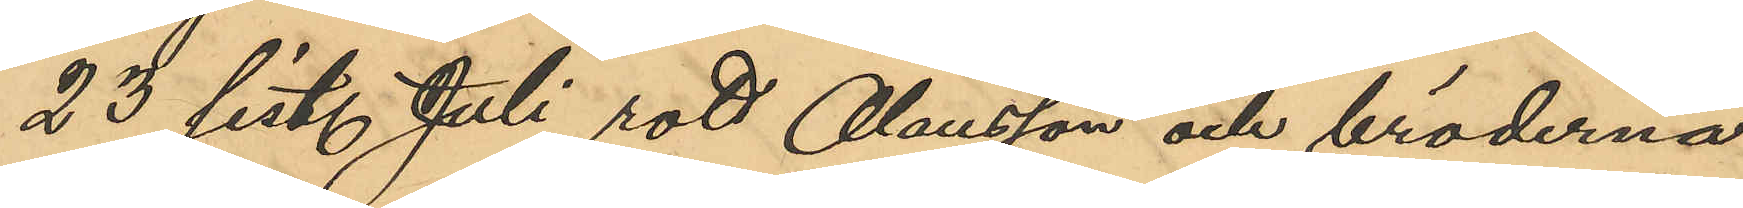23 sist. Juli rott Olausson och bröderna
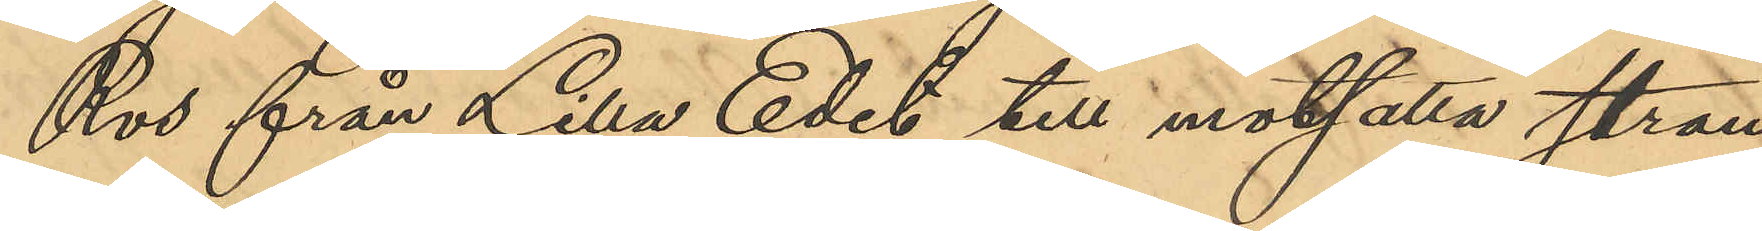Ros från Lilla Edet till motsatta stran¬
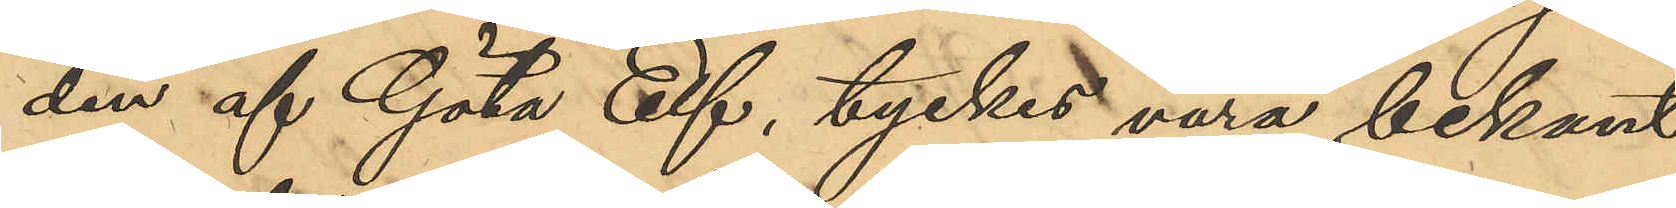den af Göta Elf, tyckes vara bekant
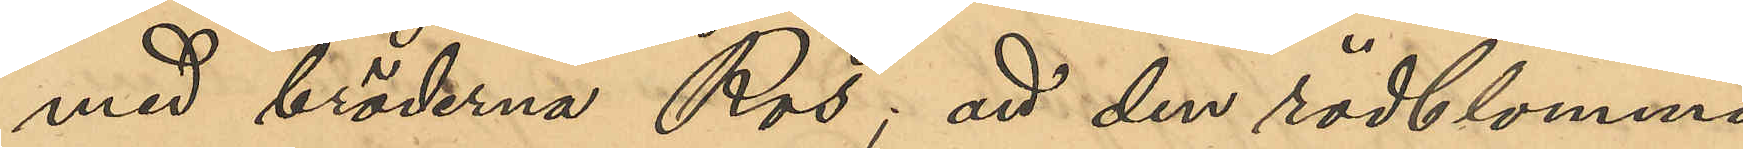med bröderna Ros; att den rödblommi¬
